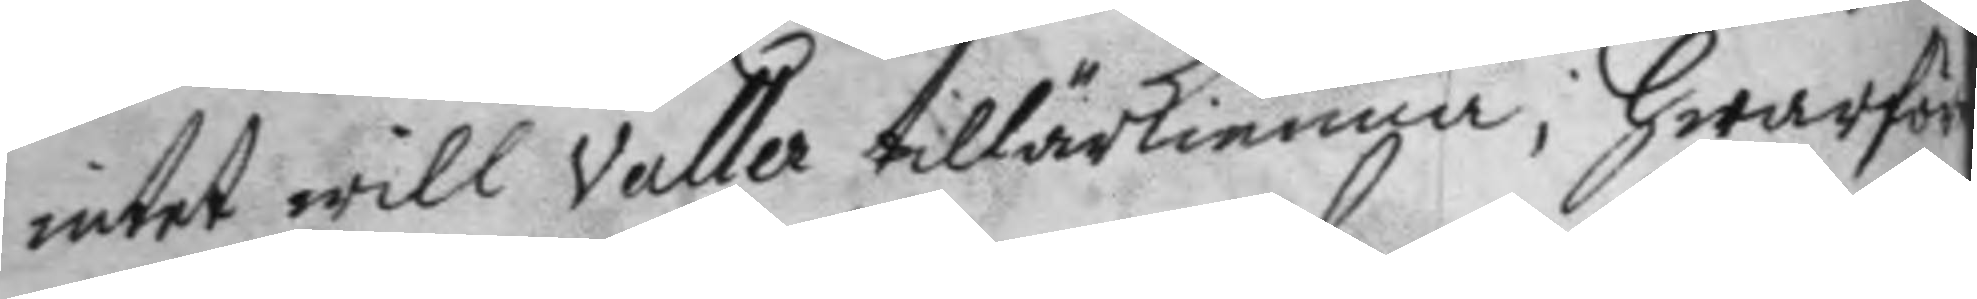intet will Valler tillärkienna, hwarföre
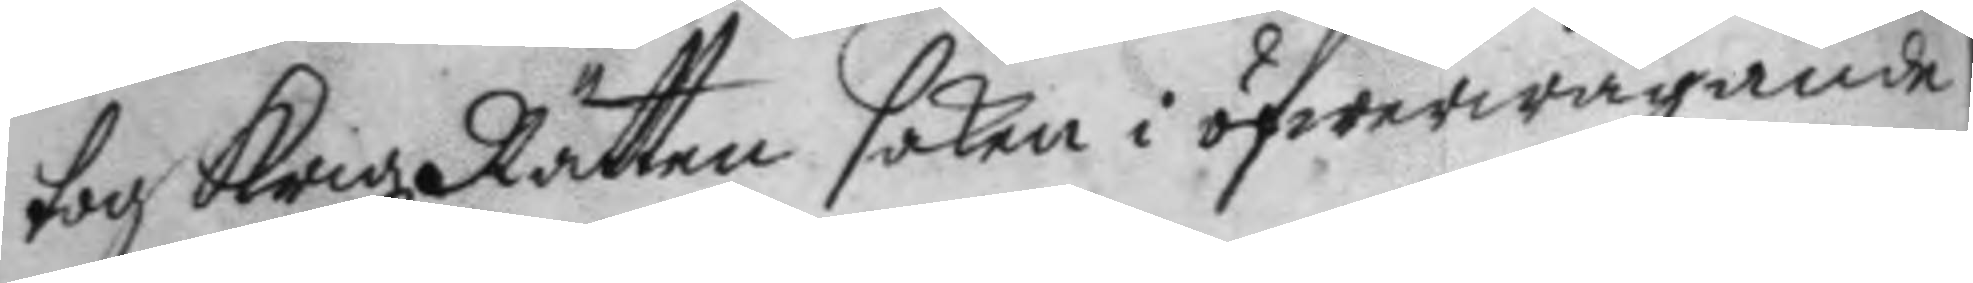tiog Krigz Rätten saken i öfwerwägande
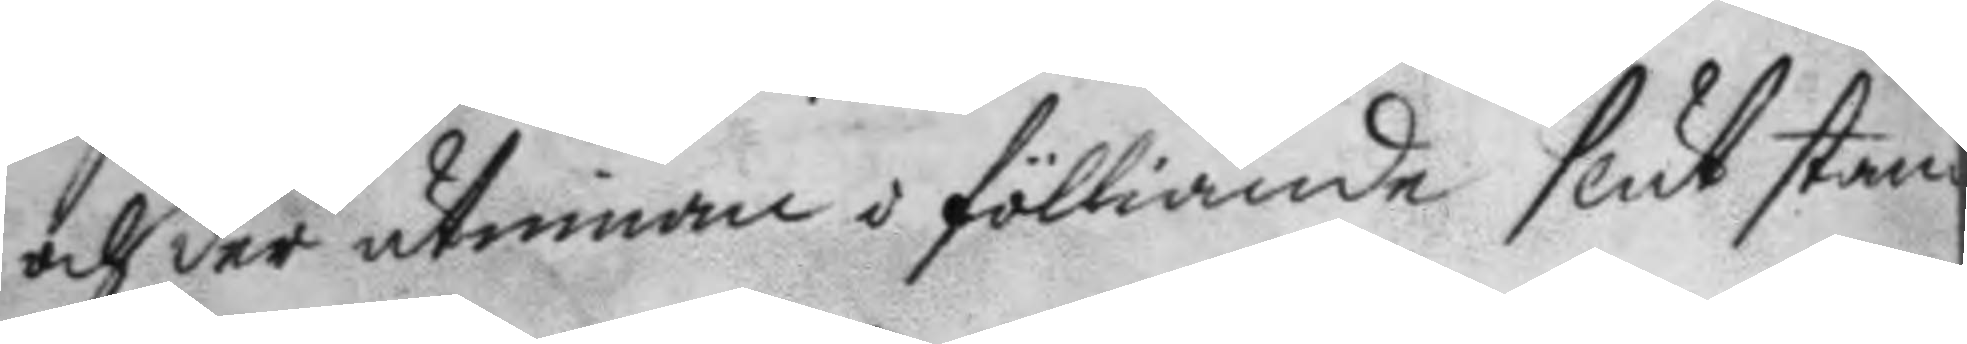och der utinnan i fölliande slut stan¬
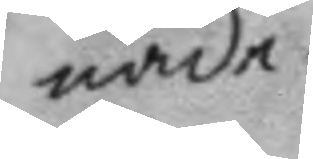nade.
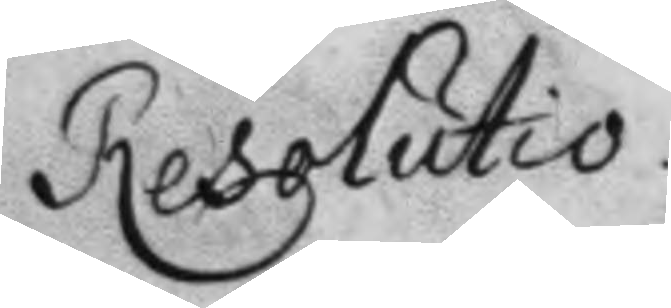Resolutio.
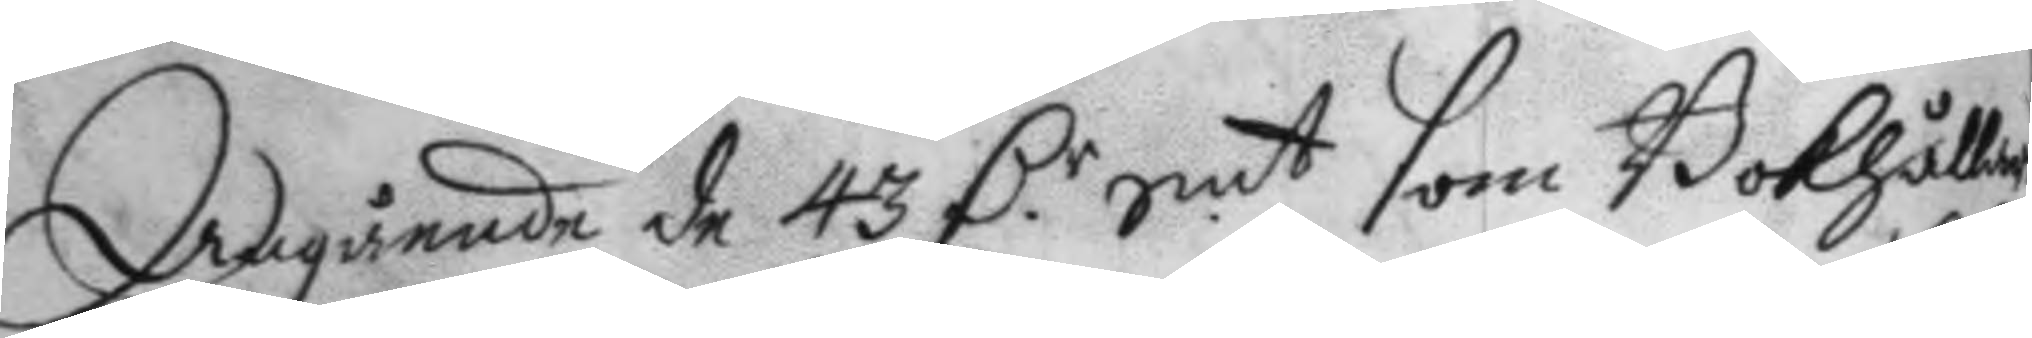Angående de 43 D.r Smt som Bokhållaren
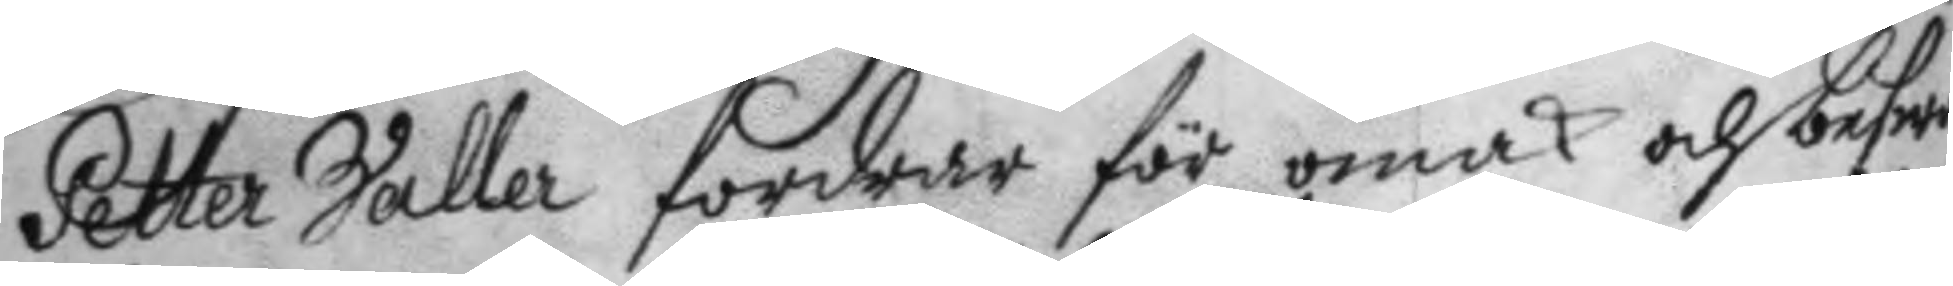Petter Valler fordrar för mak och beswär
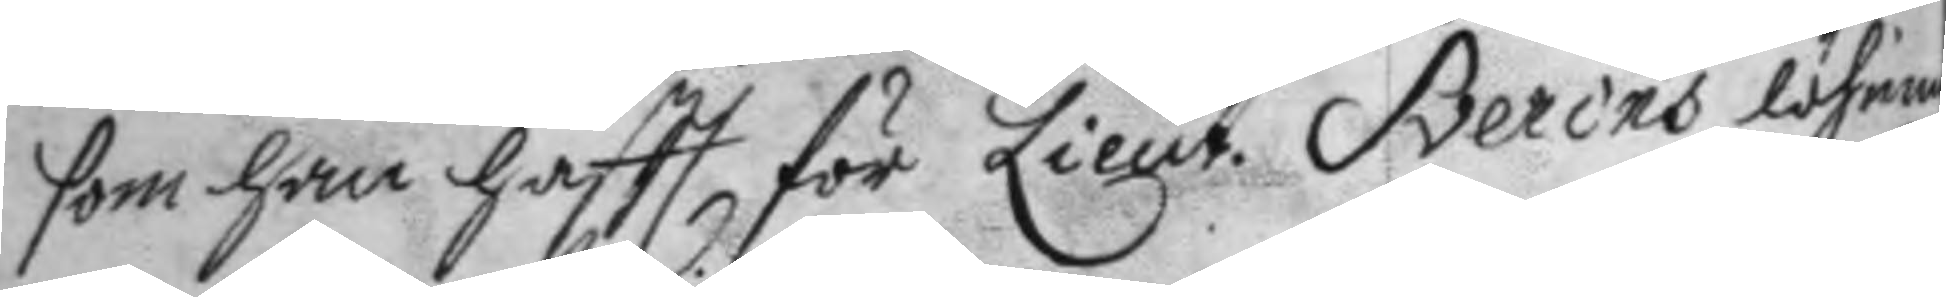som han haftt för Lieut. Sverins löhning
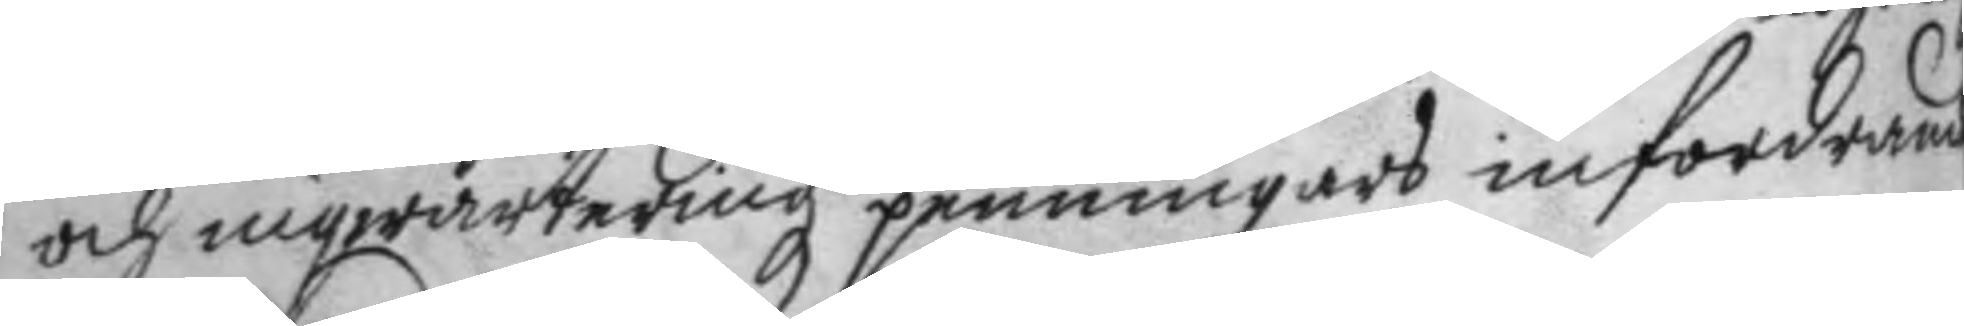och inqwarterings penningars infordrande
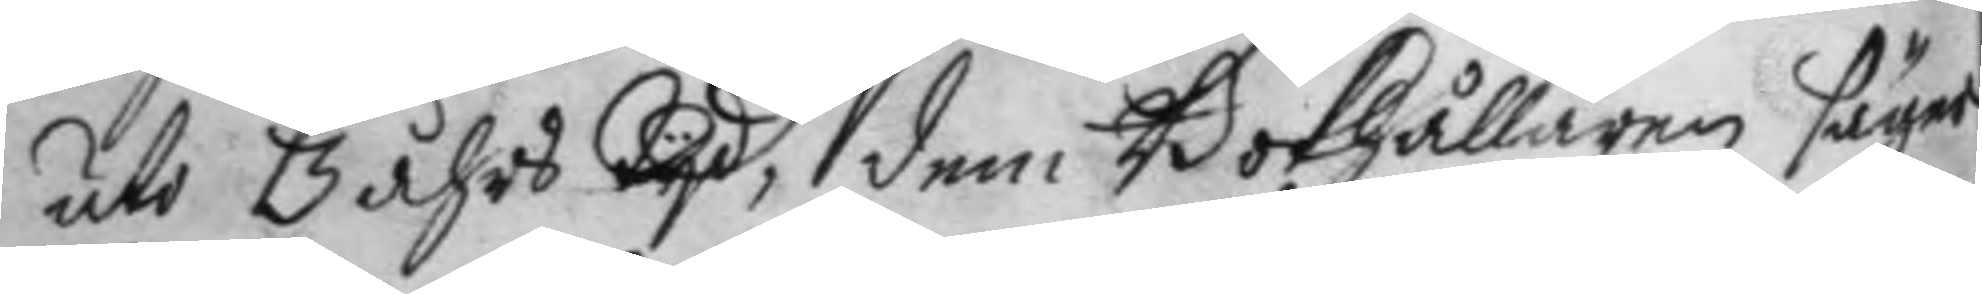uti 3 åhrs tyd, dem Bokhållaren säger
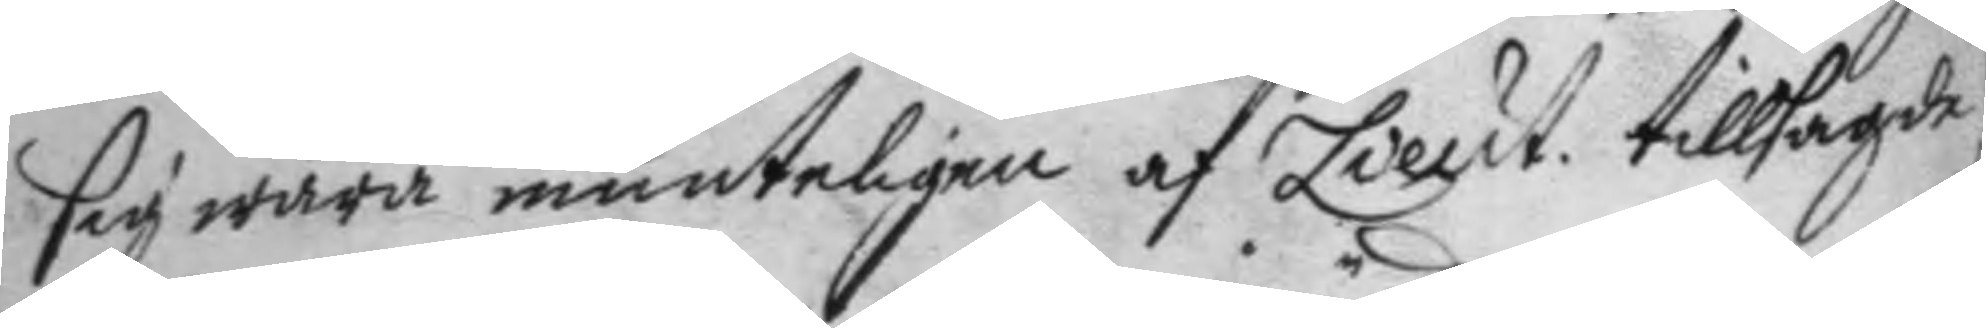sig wara munteligen af Lieut. tillsagde
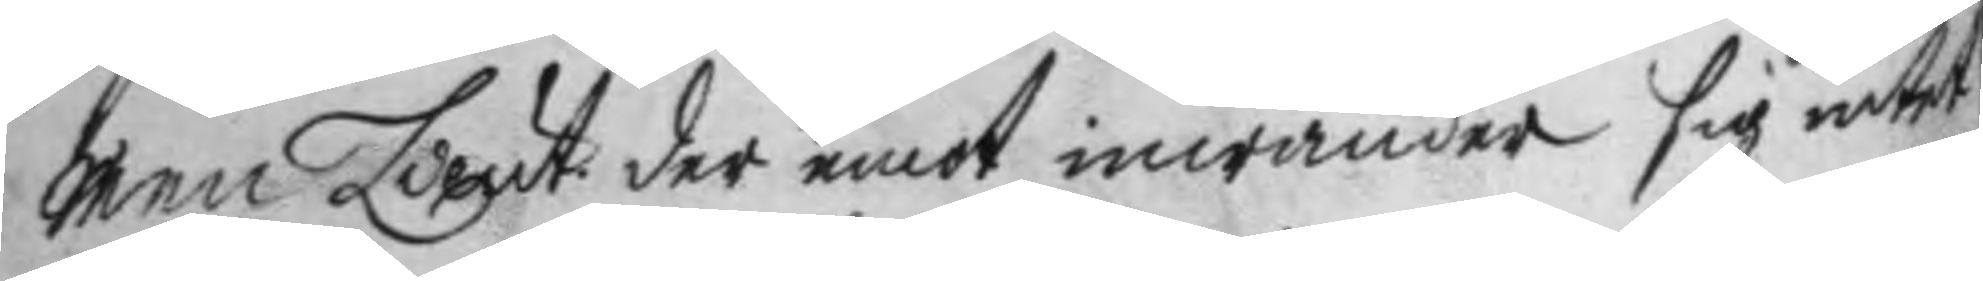men Lieut. der emot inwänder sig intet
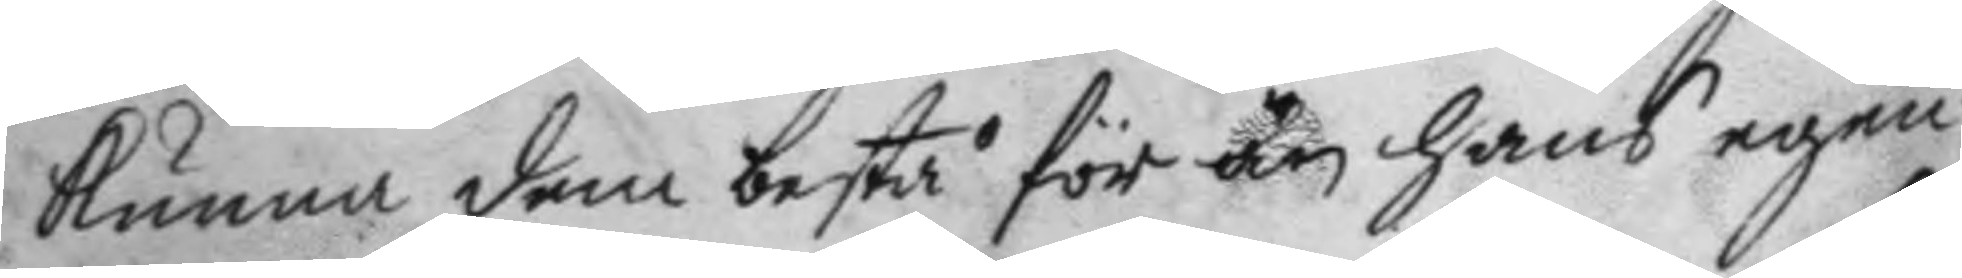kunna dem bestå för än hans egen¬
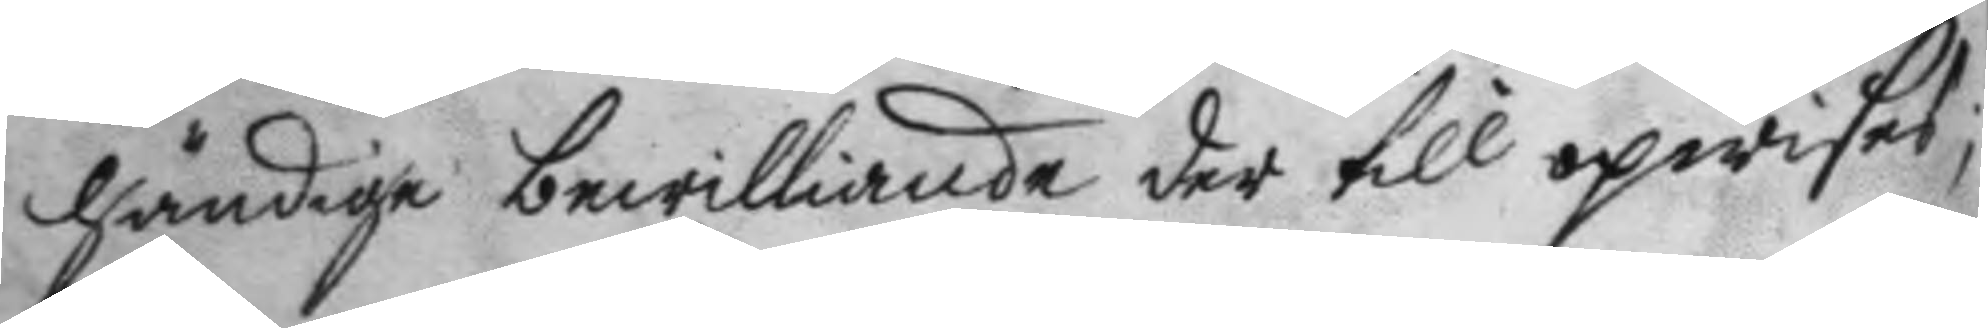händige bewilliande der till opwises;
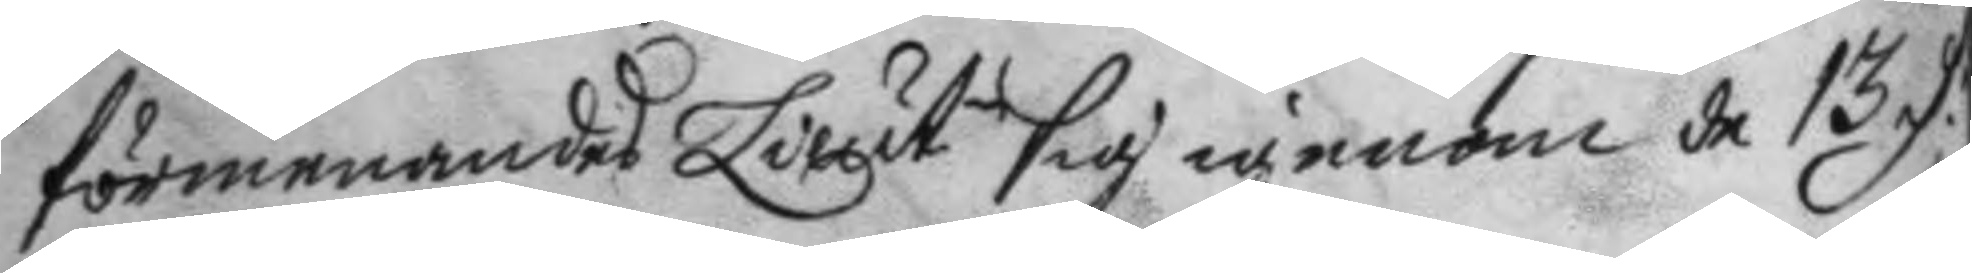förmenandes Lieut. sig igenom de 13 D.r
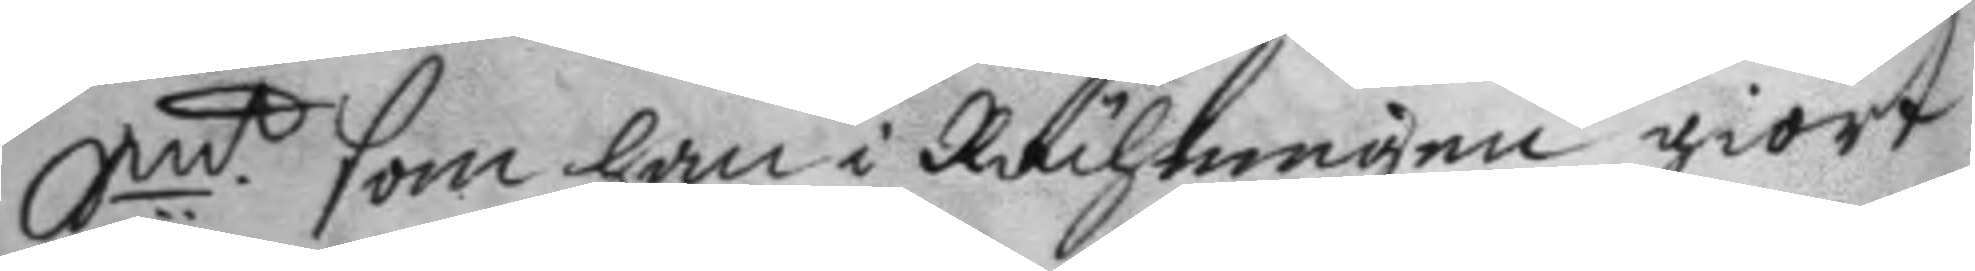Smt som han i Rächningen giort
